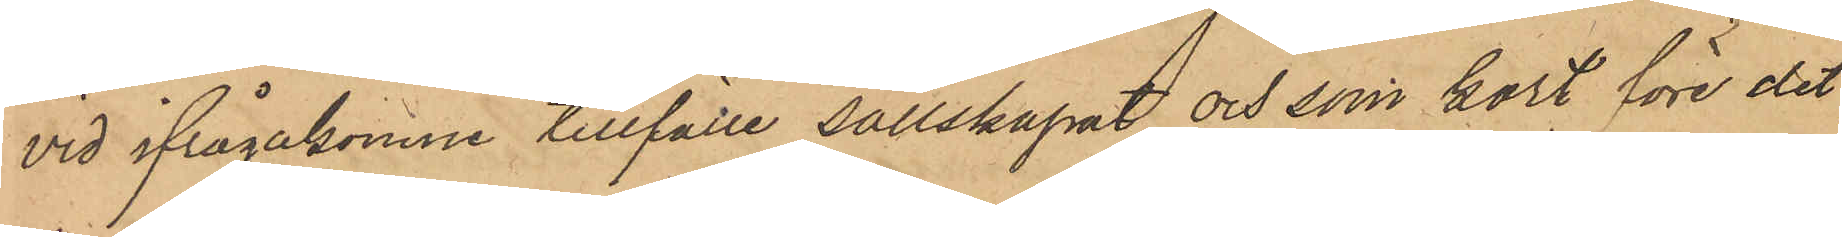vid ifrågakomne tillfälle sällskapat och som kort före det
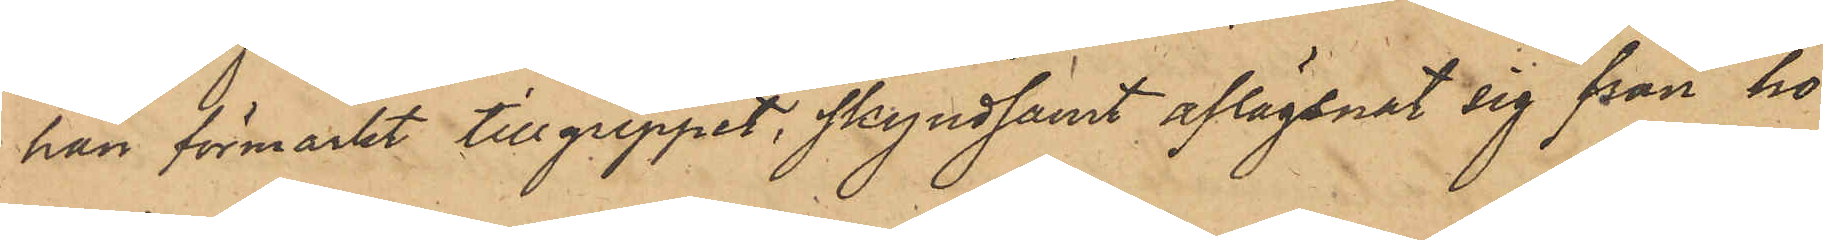han förmärkt tillgreppet, skyndsamt aflägsnat sig från ho¬
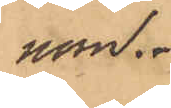nom.
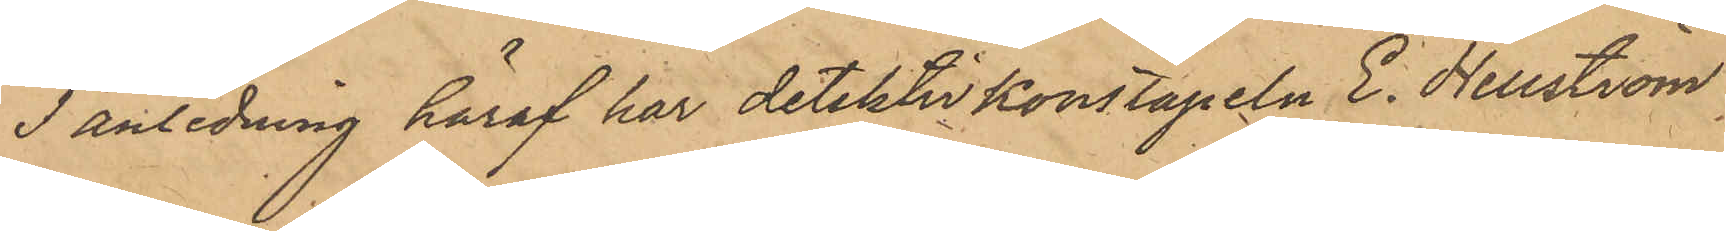I anledning häraf har detektiv Konstapeln E. Hellström
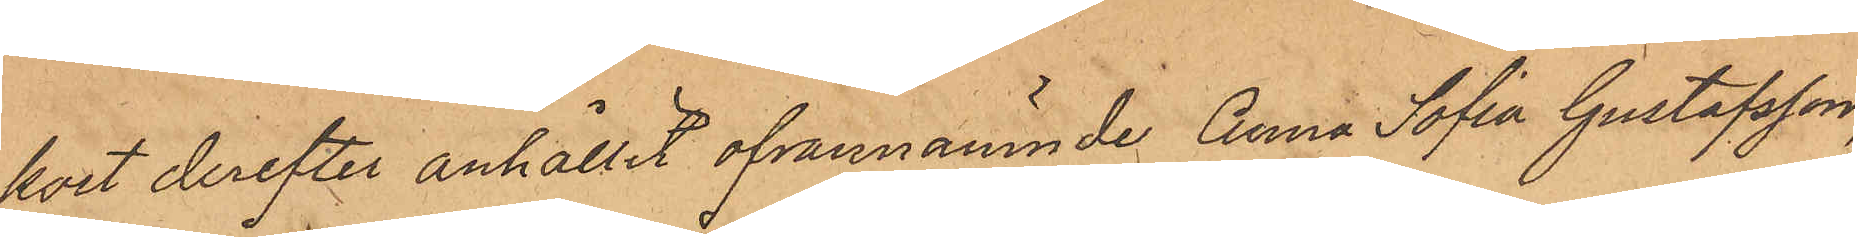kort derefter anhållit ofvannämnde Anna Sofia Gustafsson,
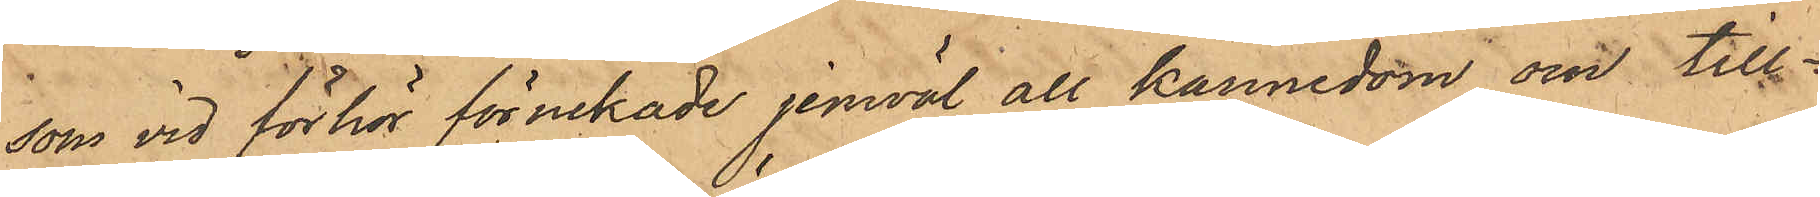som vid förhör förnekade jemväl all kännedom om till¬
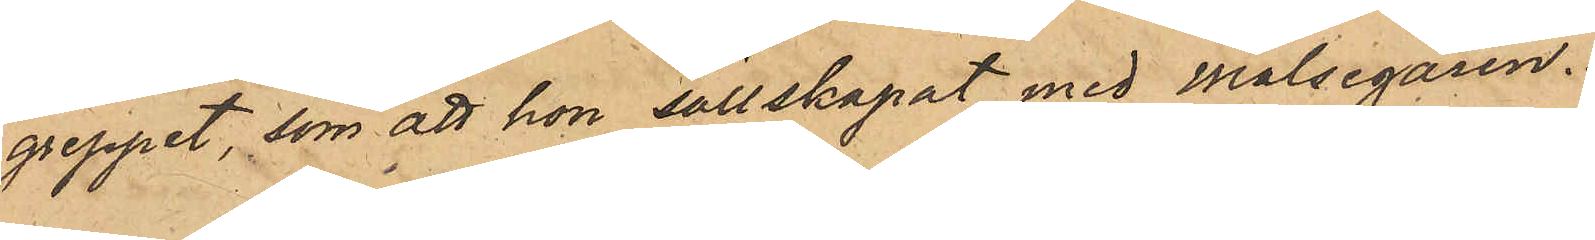greppet, som att hon sällskapat med målsegaren.
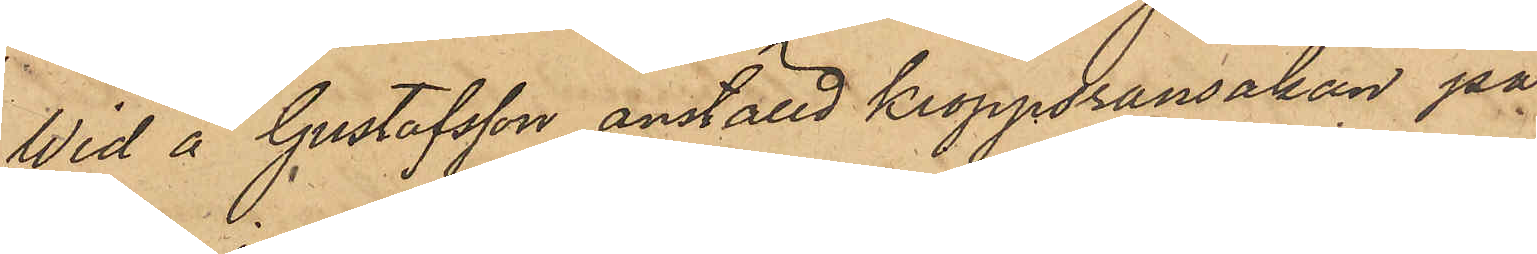Wid å Gustafsson anställd kroppsransakan på¬
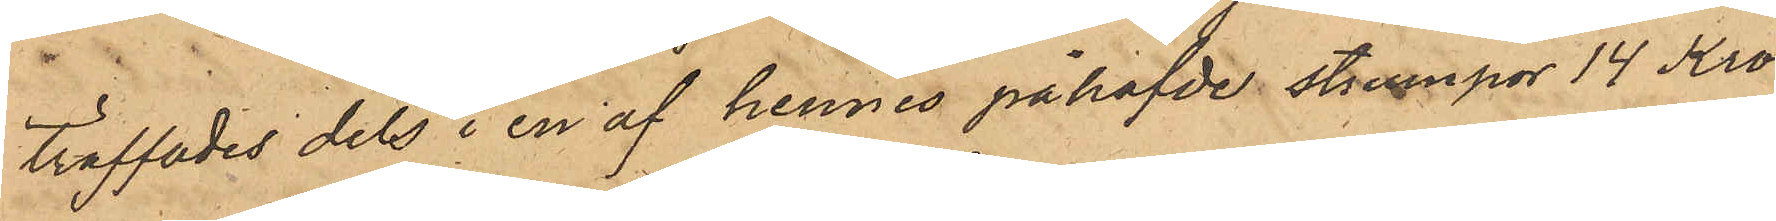träffades dels i en af hennes påhafde strumpor 14 Kro¬
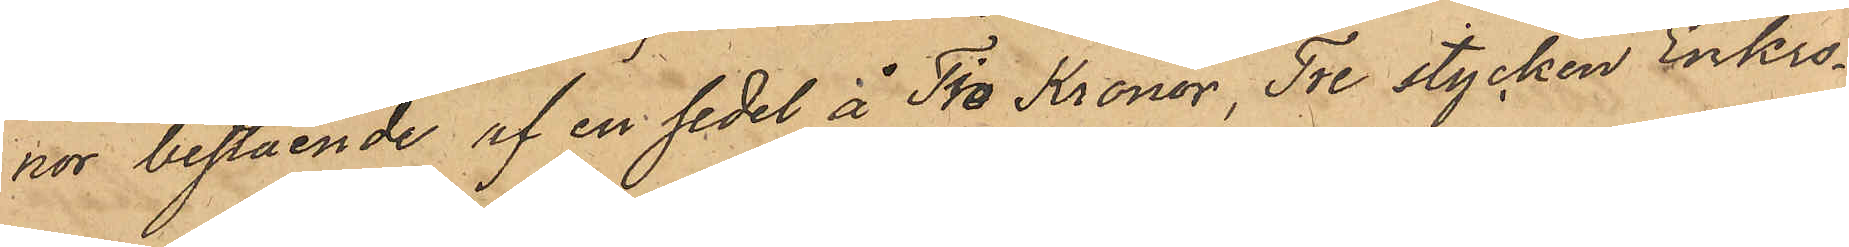nor bestående af en sedel å Tio Kronor, Tre stycken Enkro¬
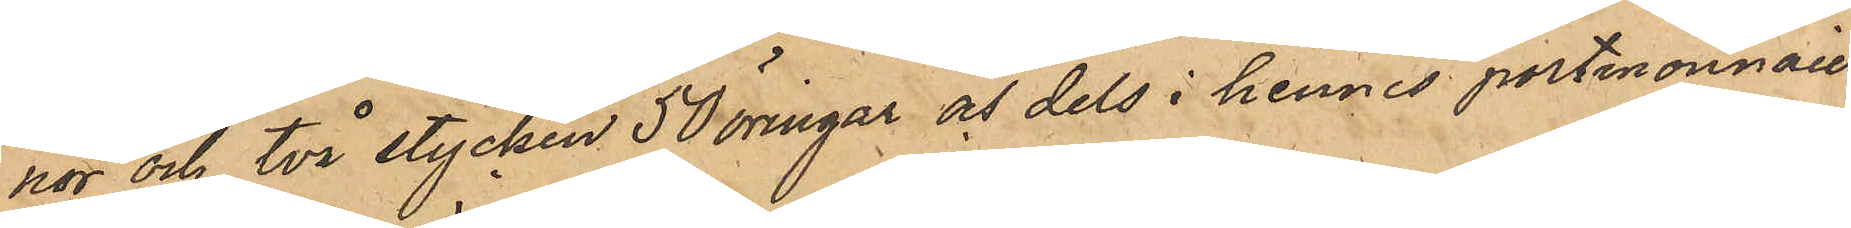nor och två stycken 50 öringar och dels i hennes portmonnaie
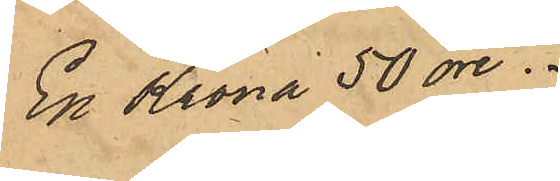En Krona 50 öre.
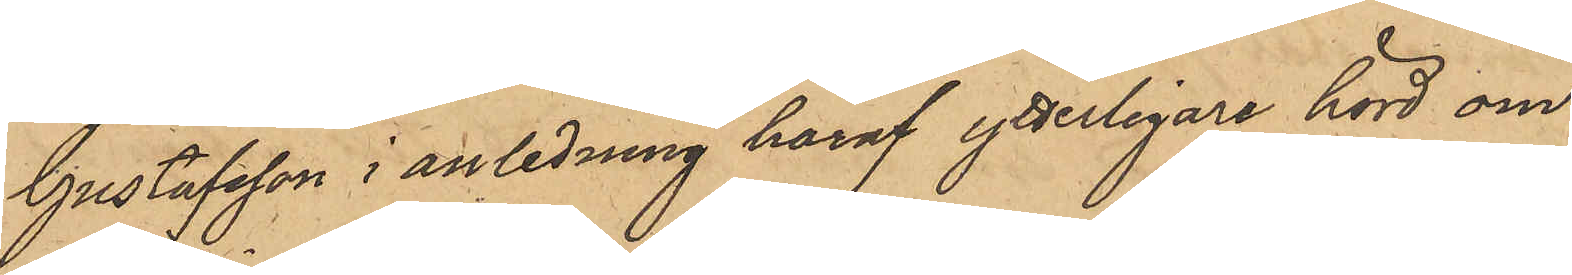Gustafsson i anledning häraf ytterligare hörd om
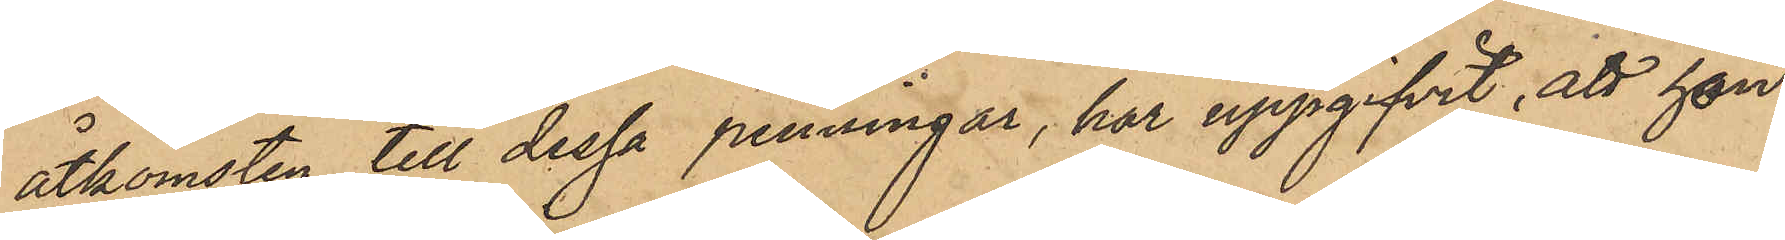åtkomsten till dessa penningar, har uppgifvit, att hon
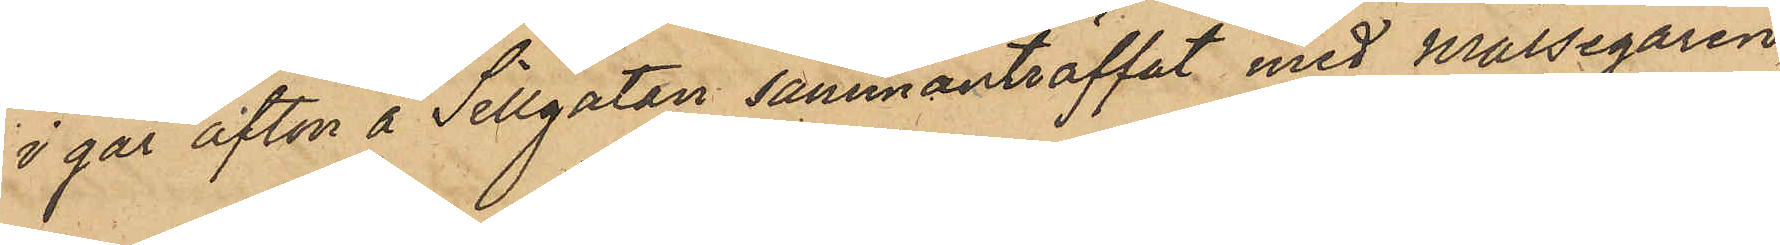i går afton å Sillgatan sammanträffat med målsegaren,
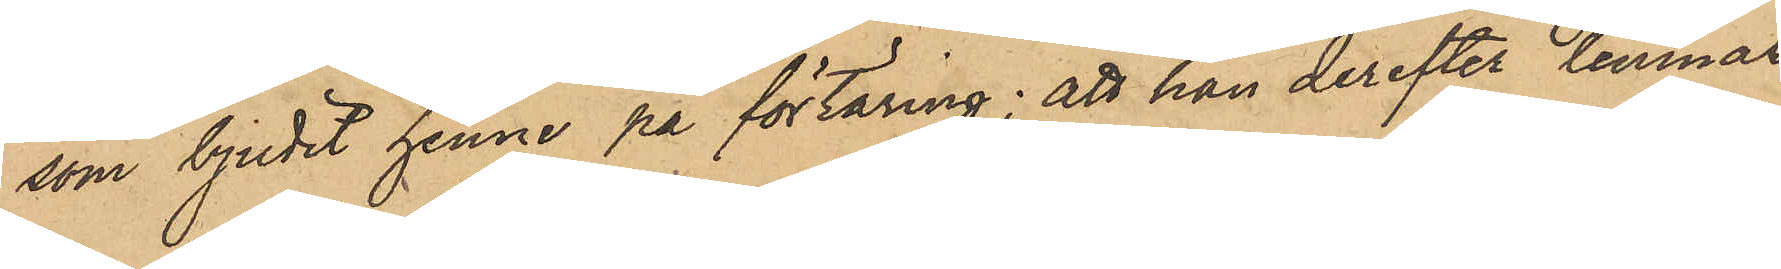som bjudit henne på förtäring; att han derefter lemnat
